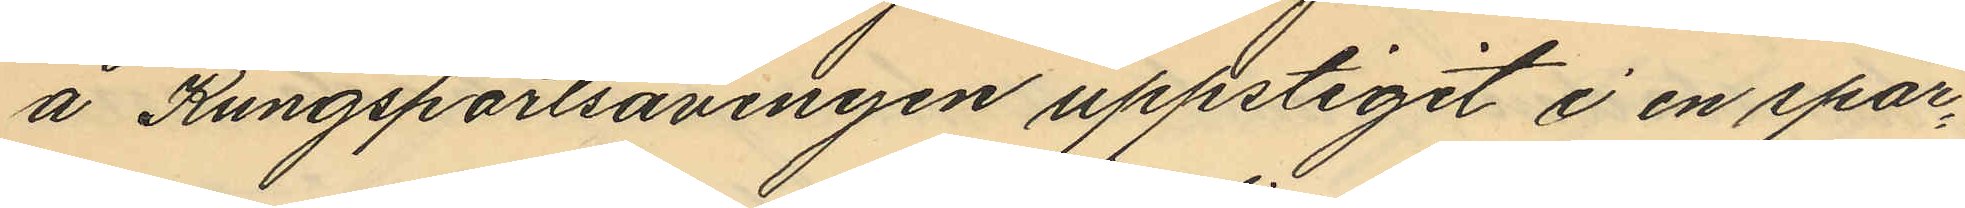å Kungsportsavenyen uppstigit i en spår¬
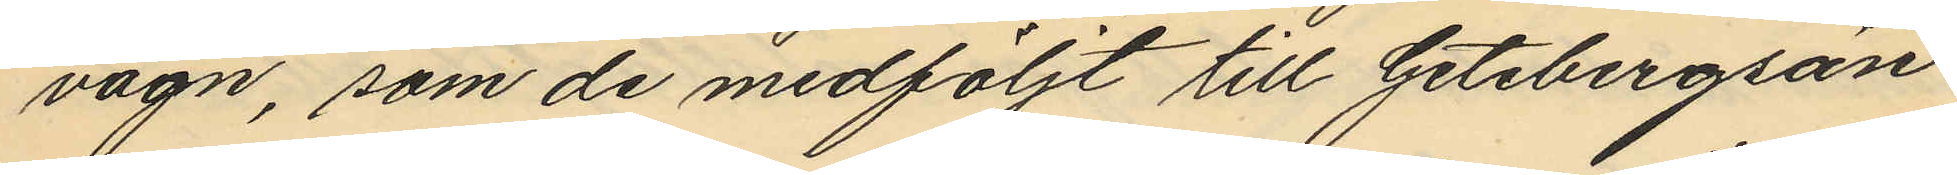vagn, som de medföljt till Getebergsän¬
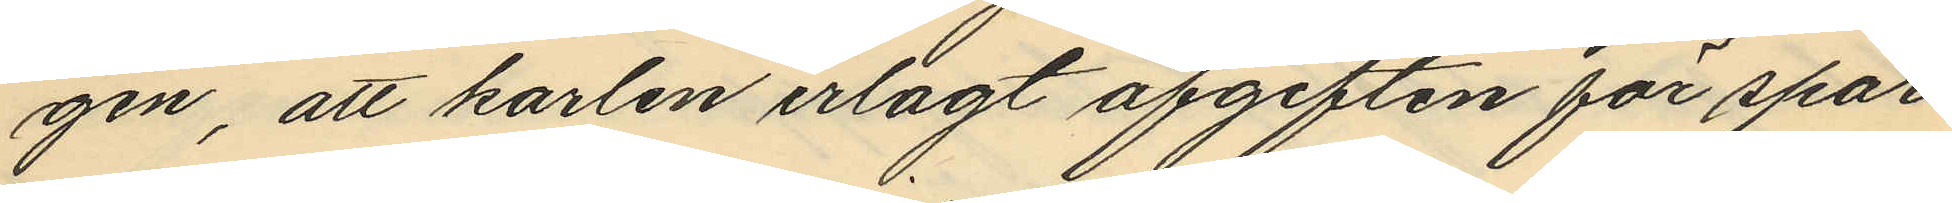gen, att karlen erlagt afgiften för spår
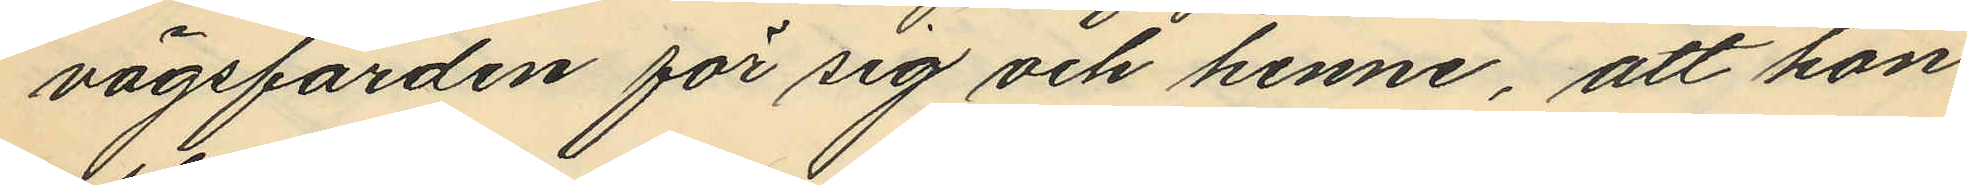vägsfärden för sig och henne, att hon
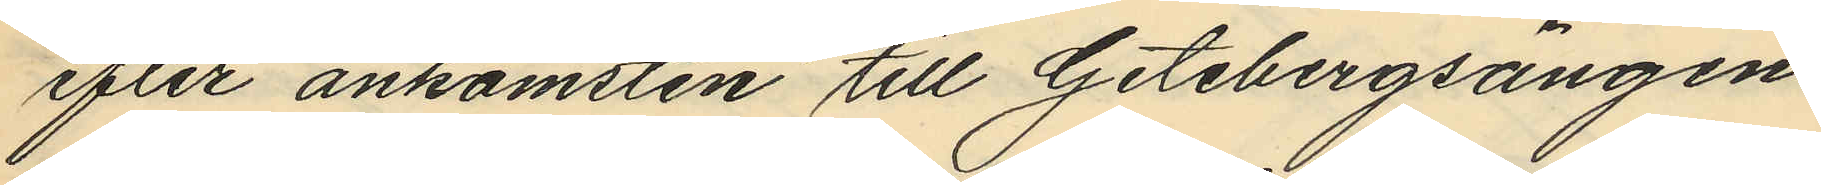efter ankomsten till Getebergsängen
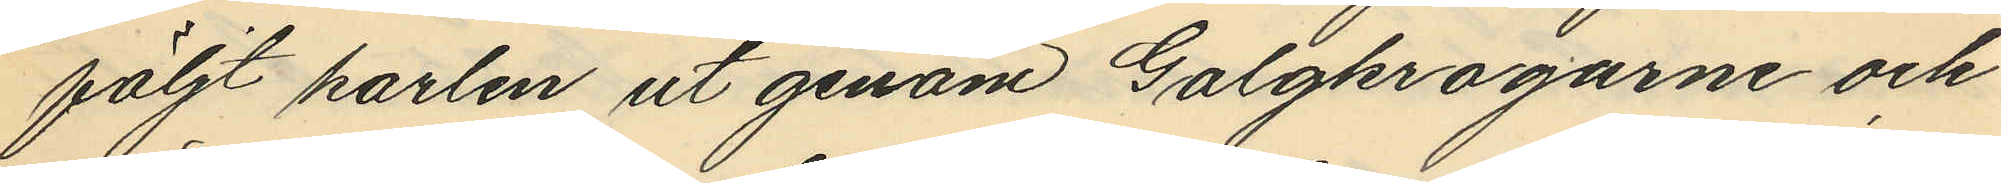följt karlen ut genom Galgkrogarne och
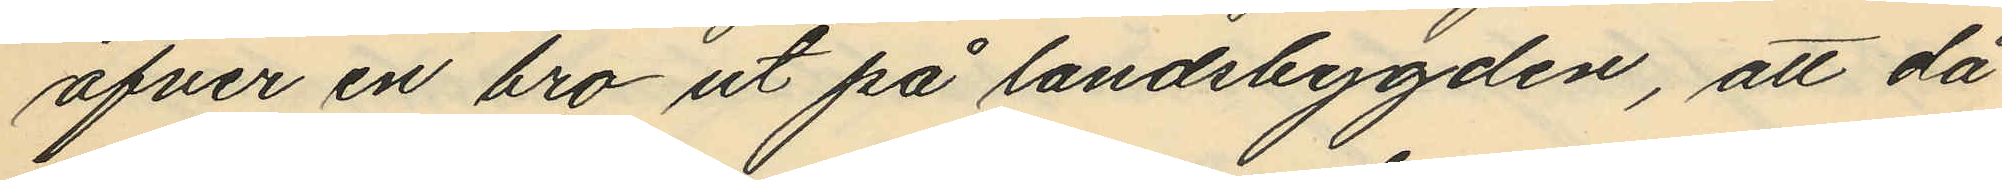öfver en bro ut på landsbygden, att då
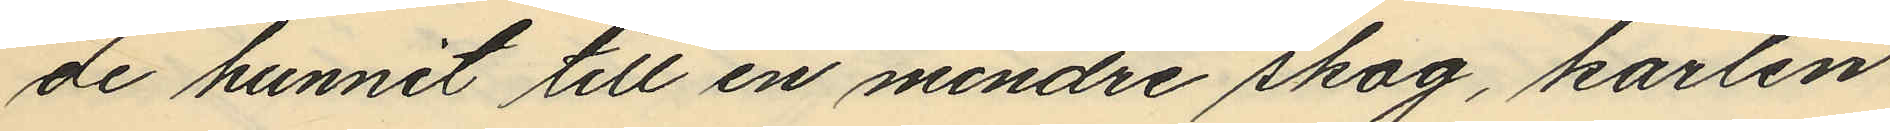de hunnit till en mindre skog, karlen
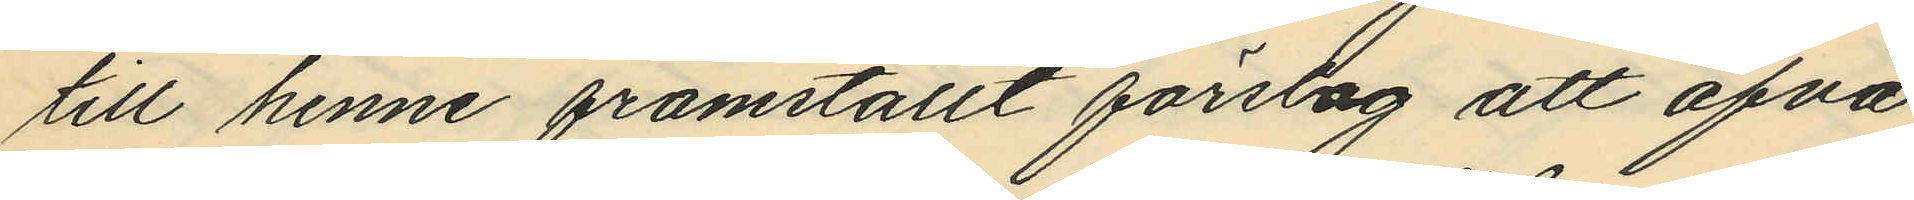till henne framställt förslag att öfva
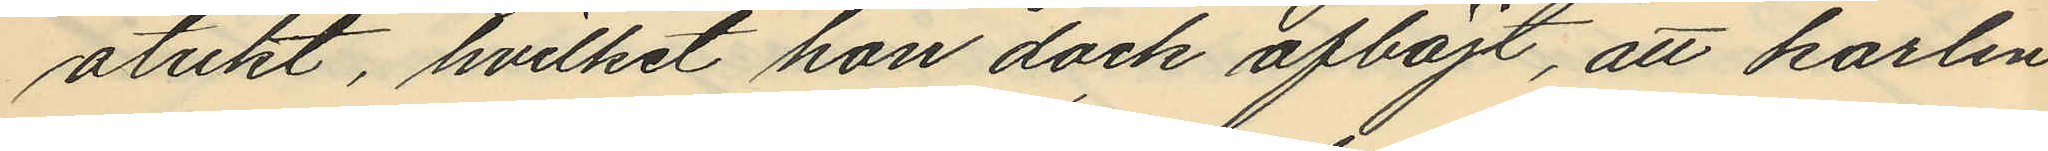otukt, hvilket hon dock afböjt, att karlen
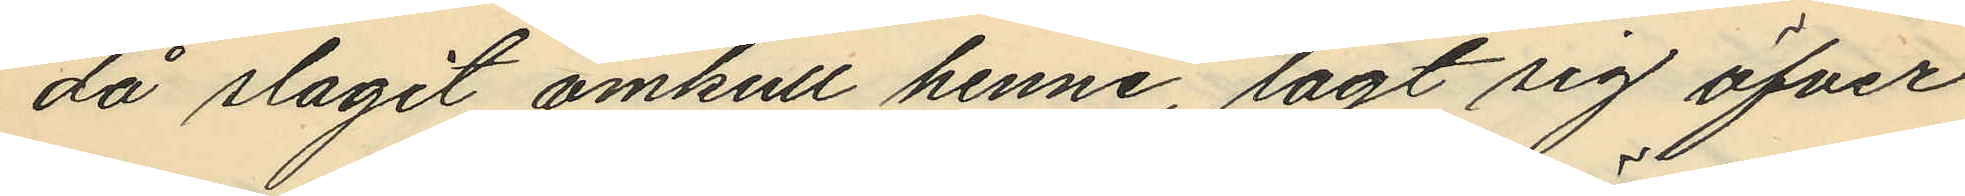då slagit omkull henne, lagt sig öfver
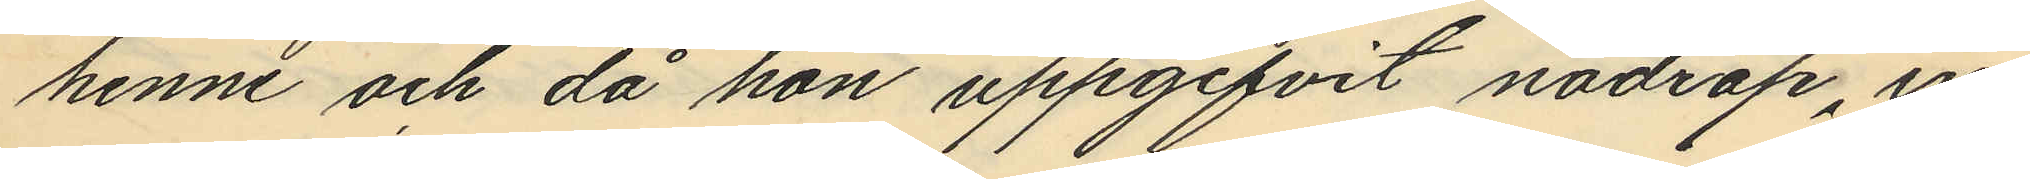henne och då hon uppgifvit nödrop, in¬
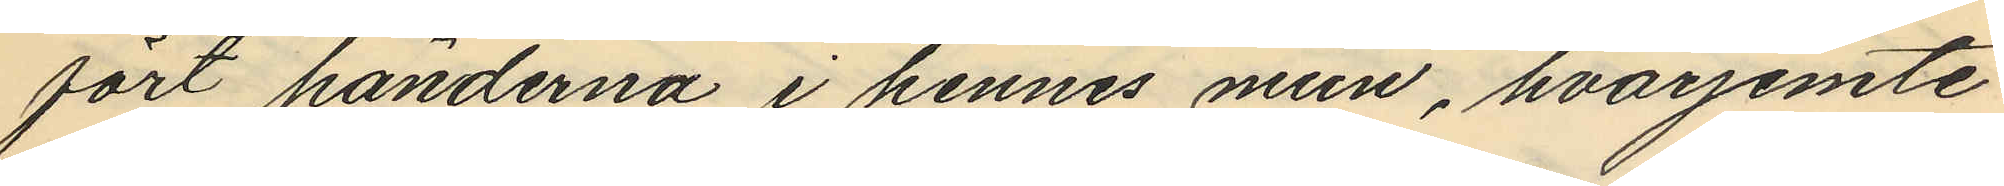fört händerna i hennes mun, hvarjemte
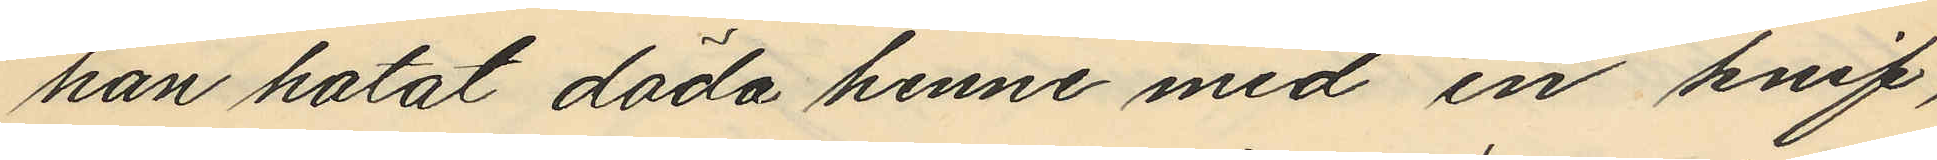han hotat döda henne med en knif,
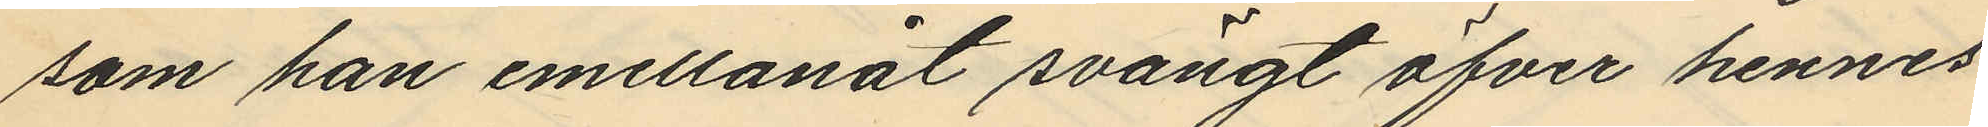som han emellånat svängt öfver hennes
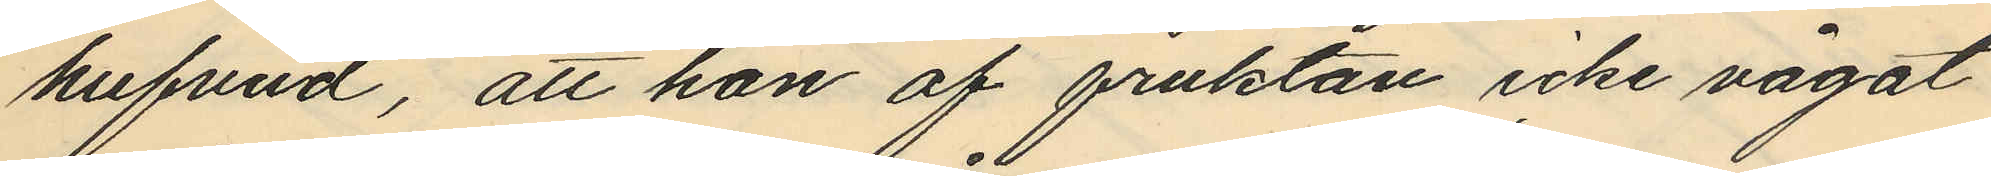hufvud, att hon af fruktan icke vågat
